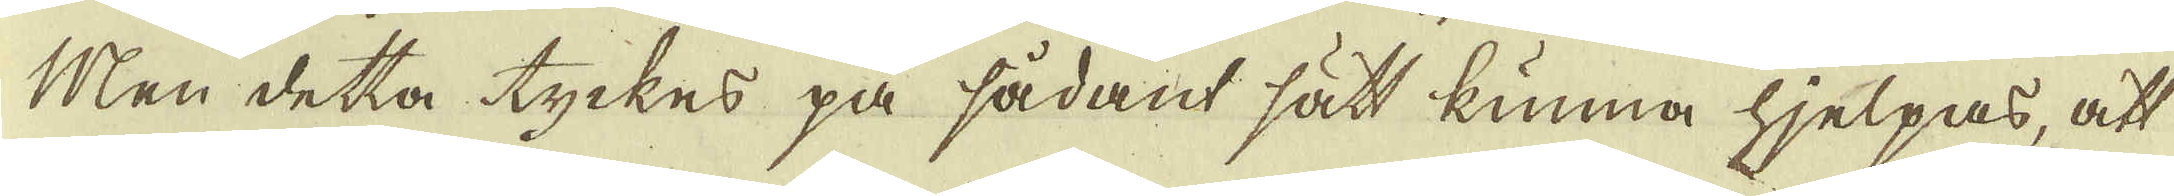Men detta tyckes på sådant sätt kunna hjelpas, att
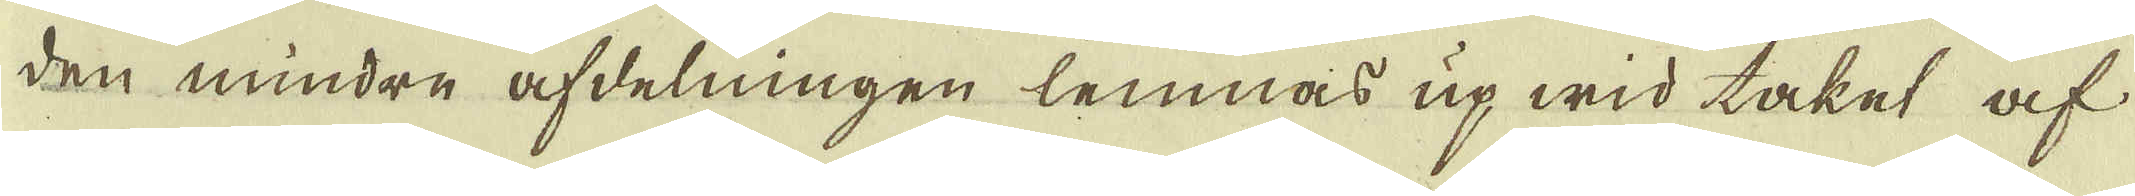den mindre afdelningen lemnas up wid taket af
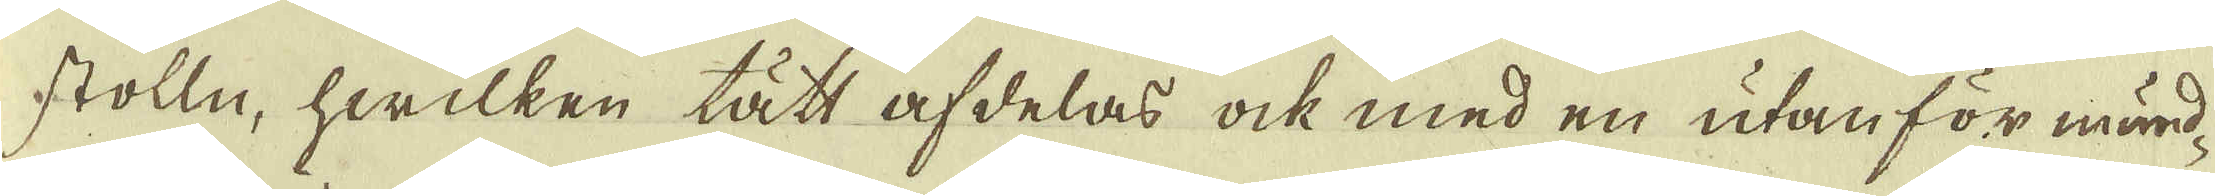stolln, hwilken tätt afdelas ock med en utan för mund-
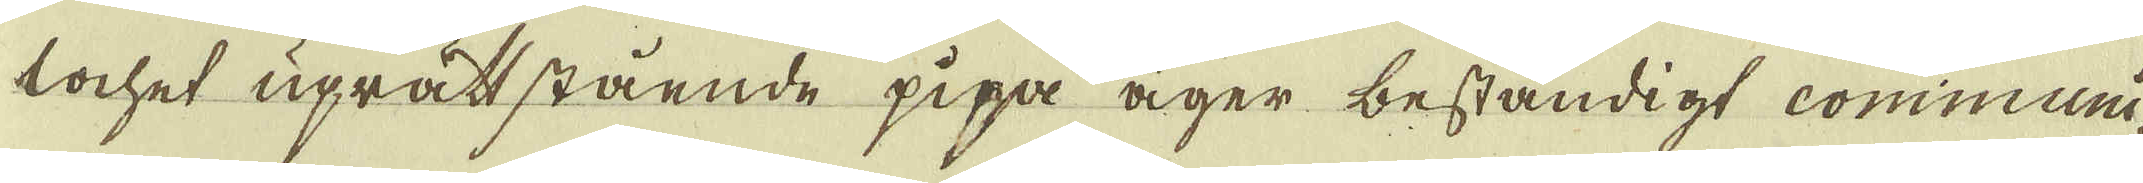lochet uprättstående pipa äger beständigt communi-
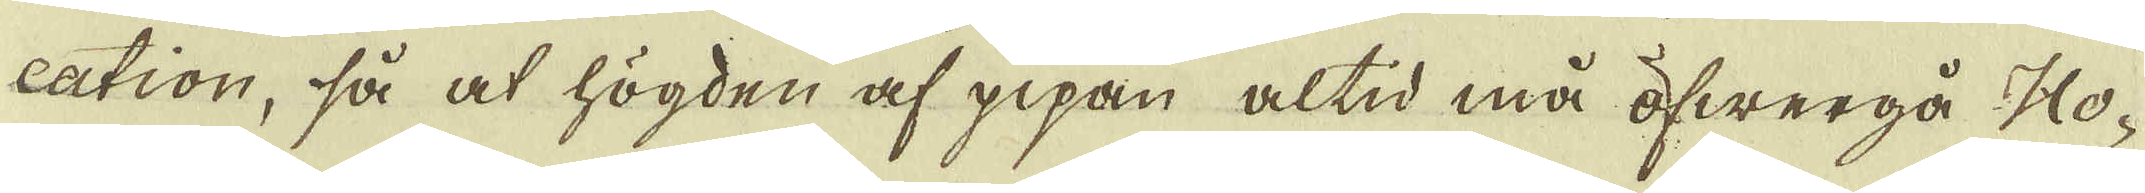cation, så at högden af pipan altid må öfwergå Ho-
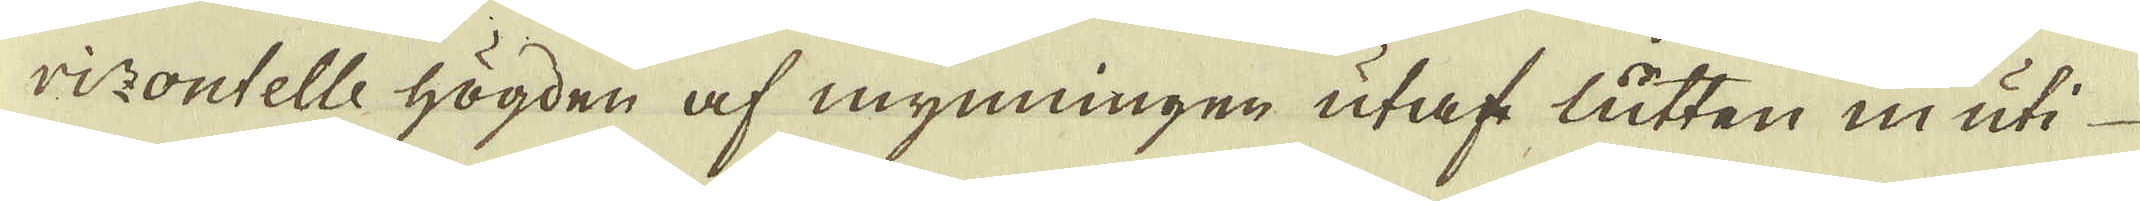rizontelle högden af mynningen utaf lutten in uti
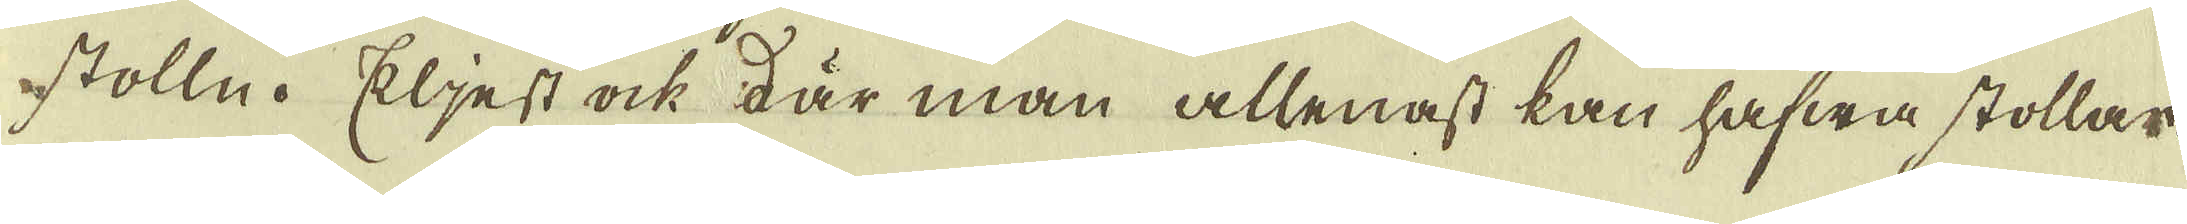stolln. Eljest ock där man allenast kan hafwa stollar.
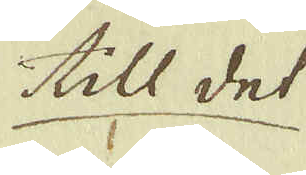till det
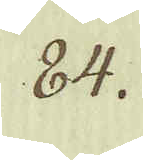84.
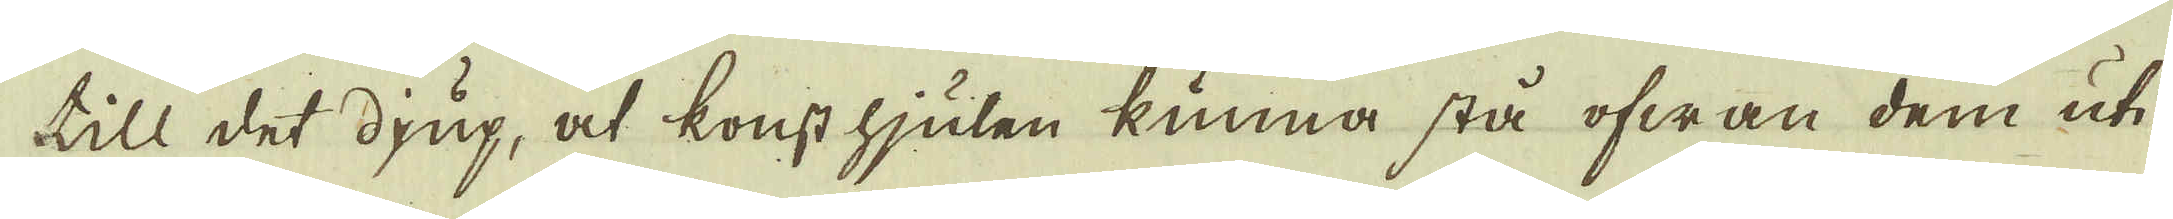till det djup, at konst hjulen kunna stå ofwan dem uti
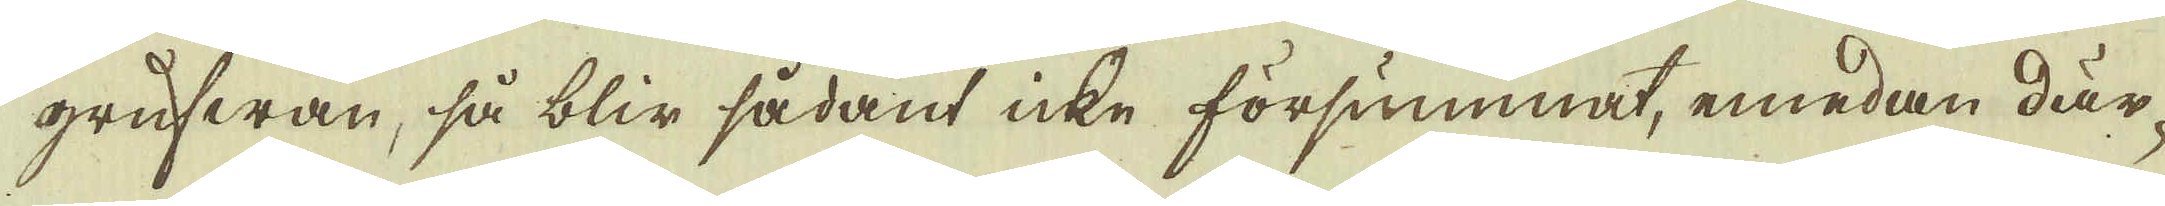grufwan, så blir sådant icke försummat, emedan där-
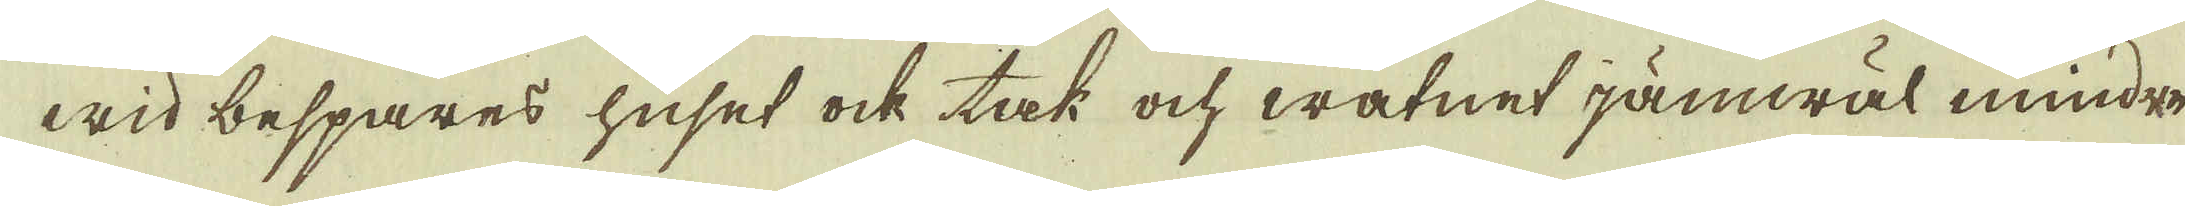wid bespares huset ock tak och watnet jämwäl mindre
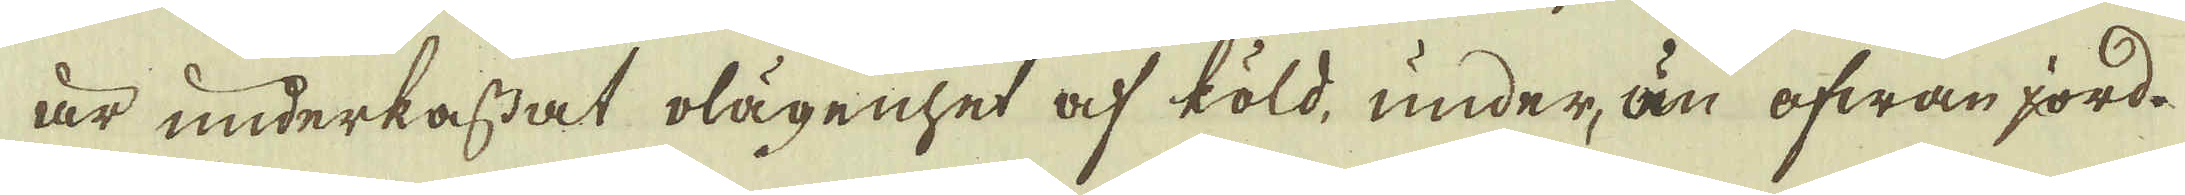är underkastat olägenhet af köld, under, än ofwan jord.
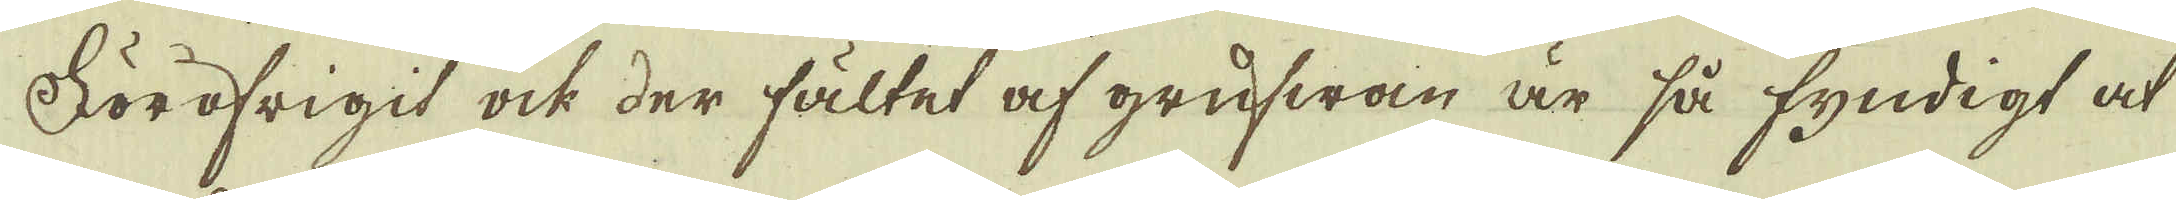Föröfrigit ock der fältet af grufwan är så fyndigt at
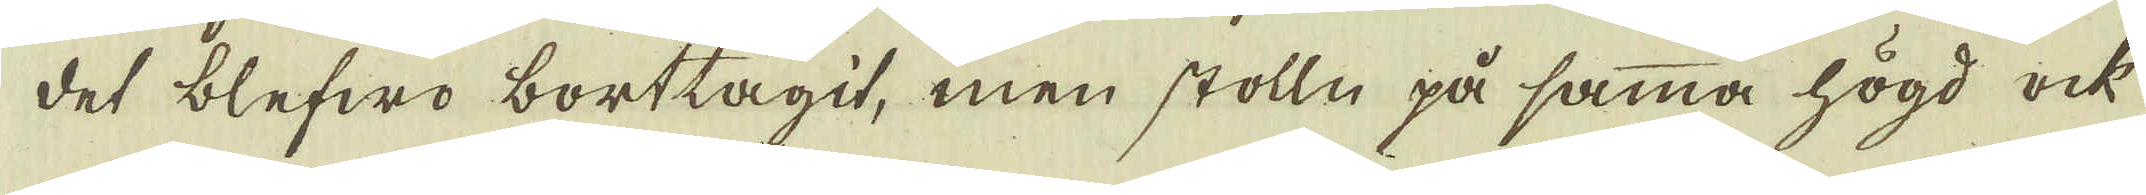det blefwo borttagit, men stolln på samma högd ock
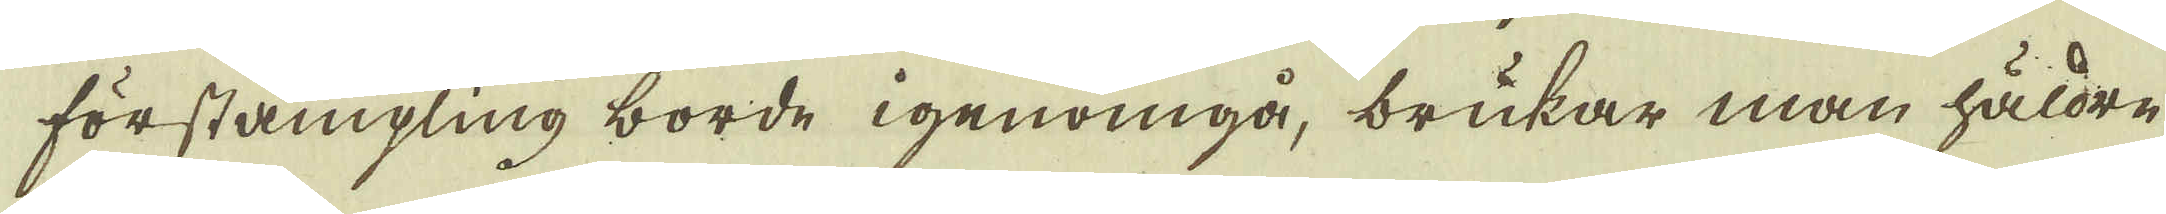förstämpling borde igenomgå, brukar man häldre
